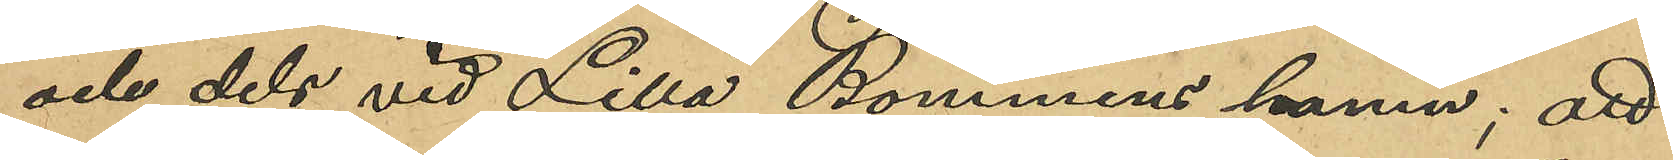och dels vid Lilla Bommens hamn; att
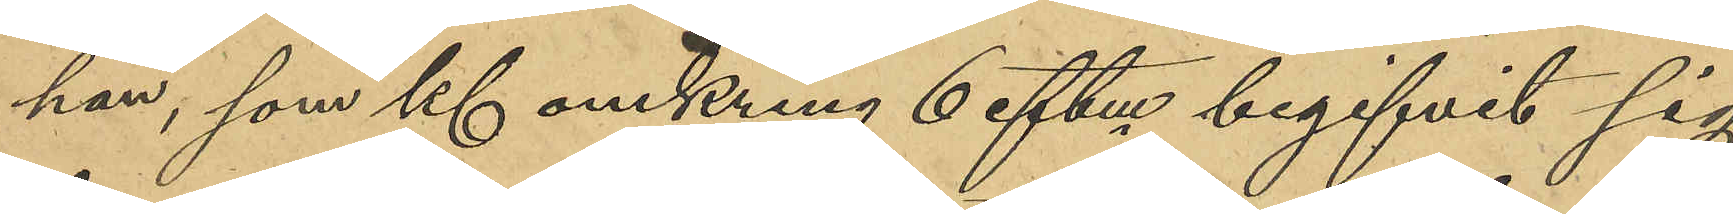han, som Kl omkring 6 eftm begifvit sig
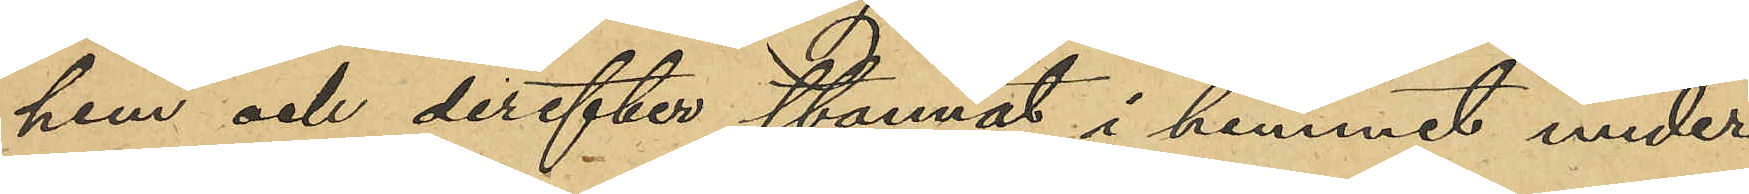hem och derefter stannat i hemmet under
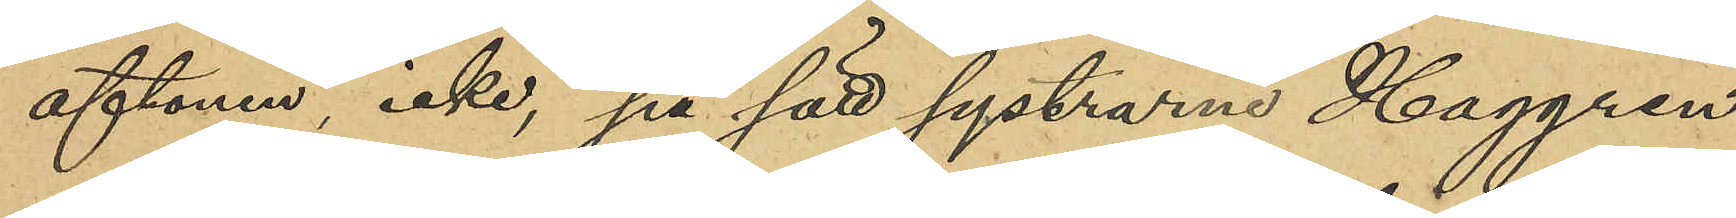aftonen, icke på sätt systrarne Haggren
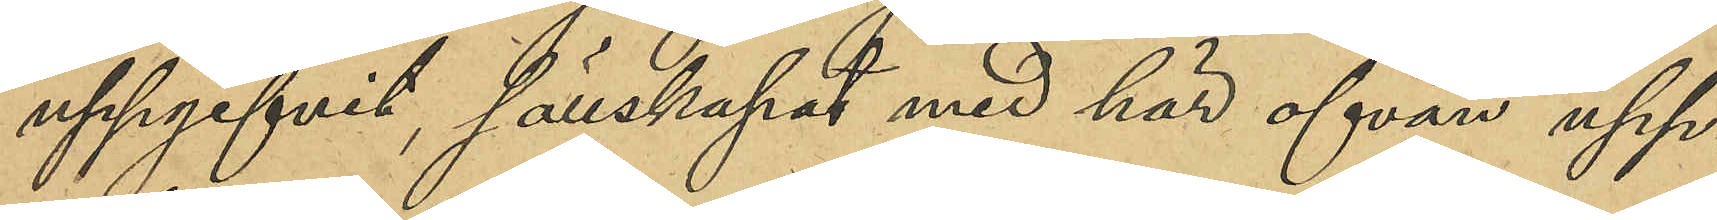uppgifvit, sällskapat med här ofvan upp¬
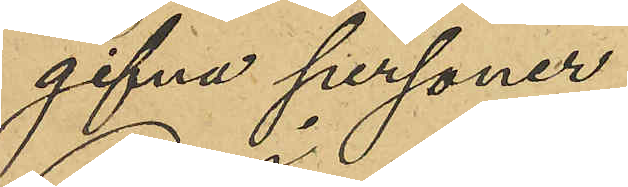gifna personer;
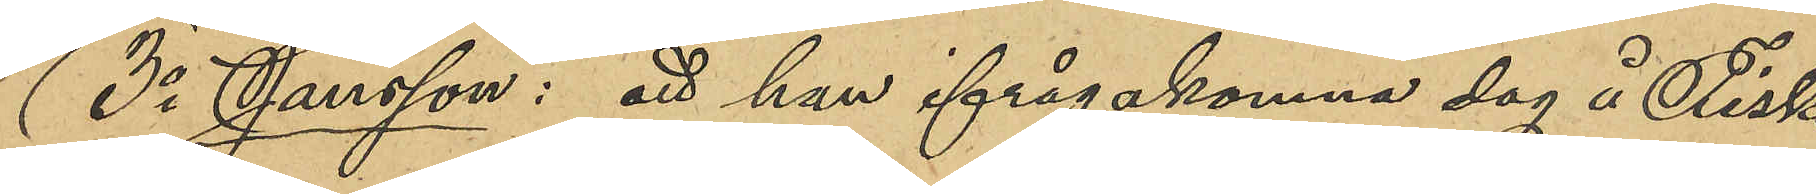3o Jansson: att han ifrågakomna dag å Fisk¬
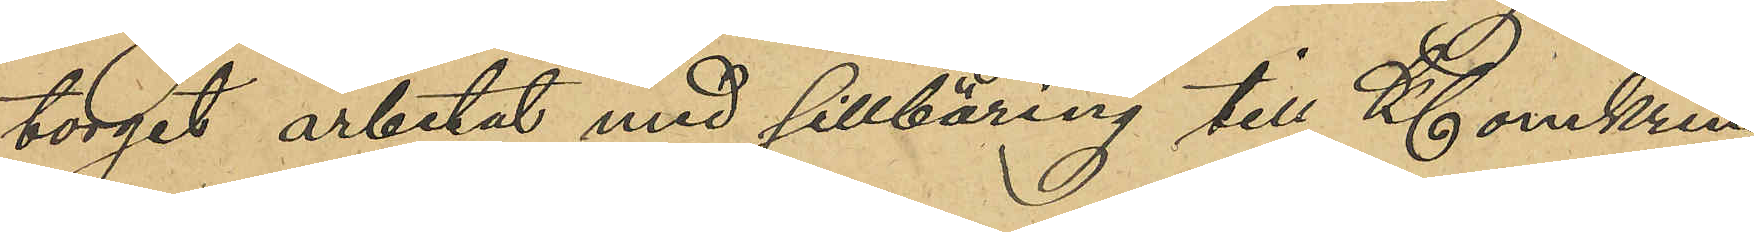torget arbetat med sillbäring till Kl omkring
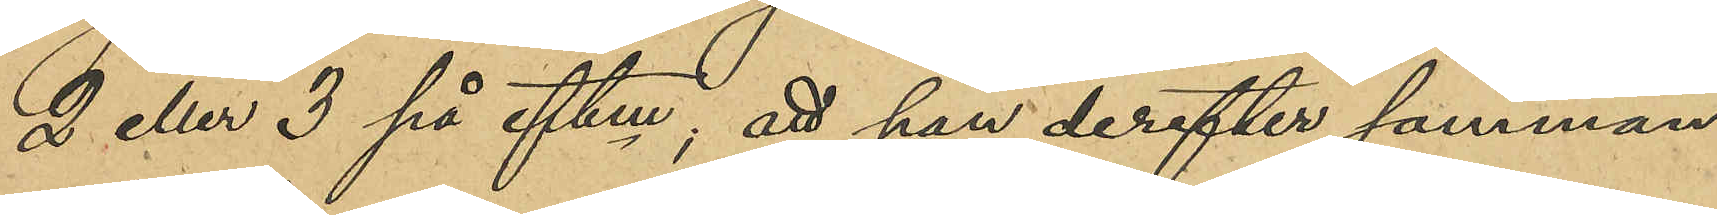2 eller 3 på eftm; att han derefter samman¬
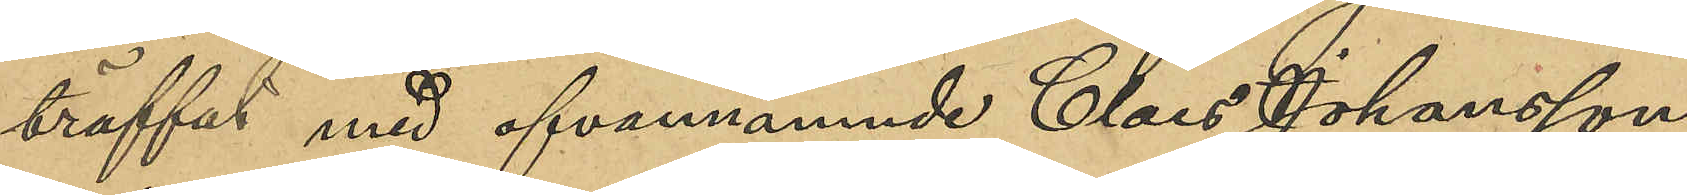träffat med ofvannämnde Claes Johansson
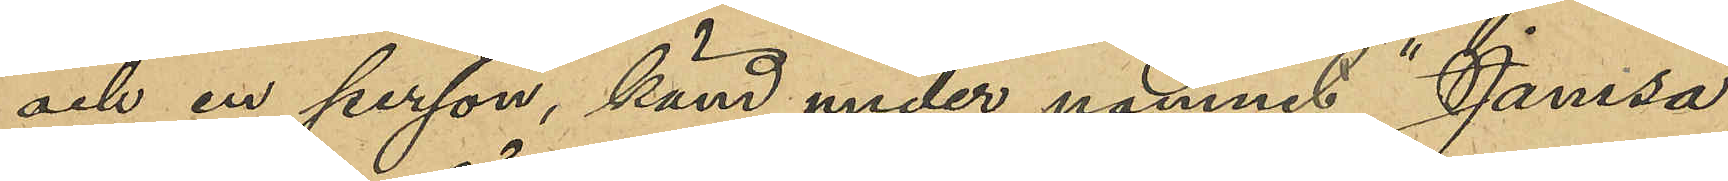och en person känd under namnet "Jamsa",
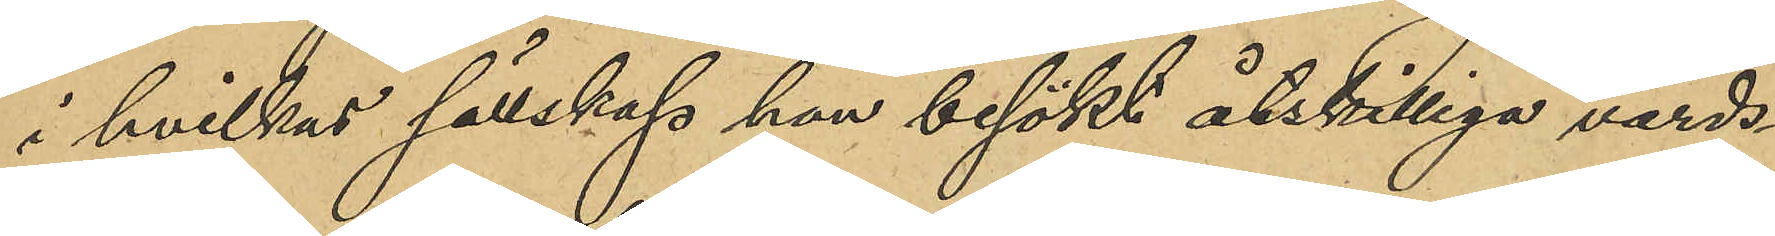i hvilket sällskap han besökt åtskilliga värds¬
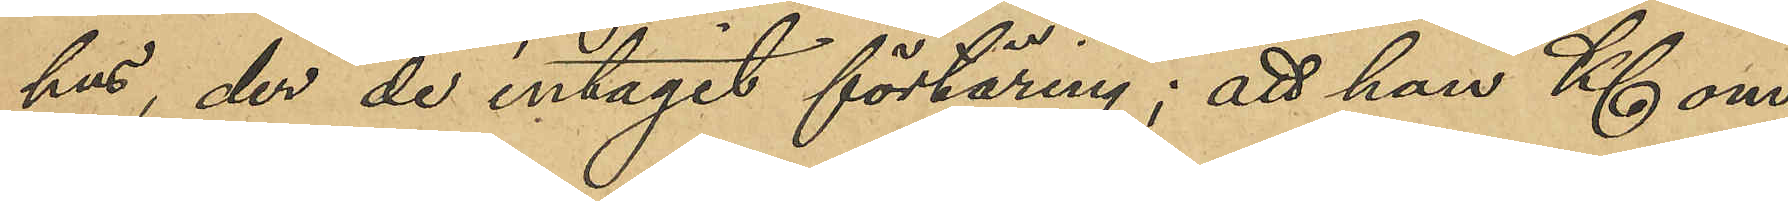hus, der de intagit förtäring; att han Kl om¬
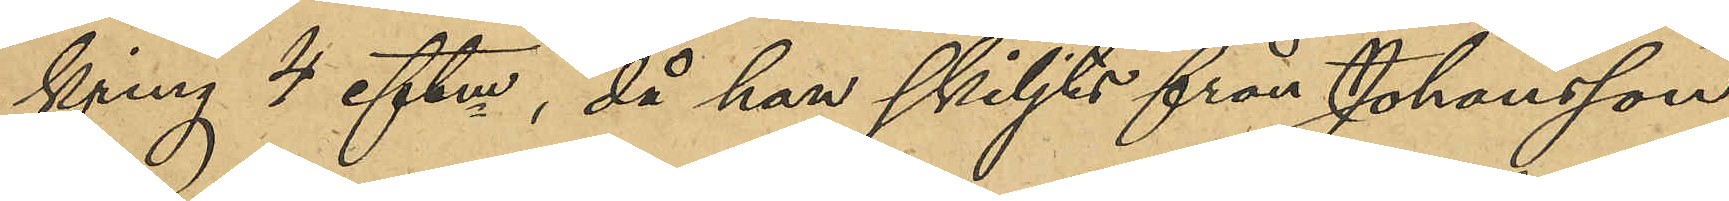kring 4 eftm, då han skiljts från Johansson
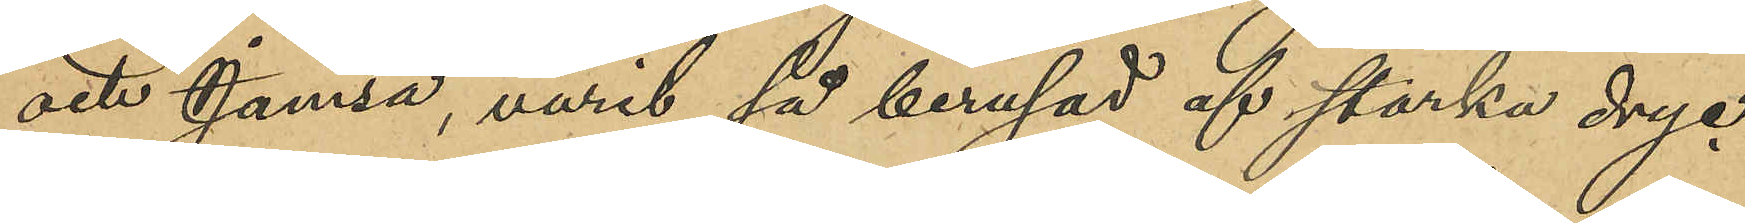och Jamsa, varit så berusad af starka dryc¬
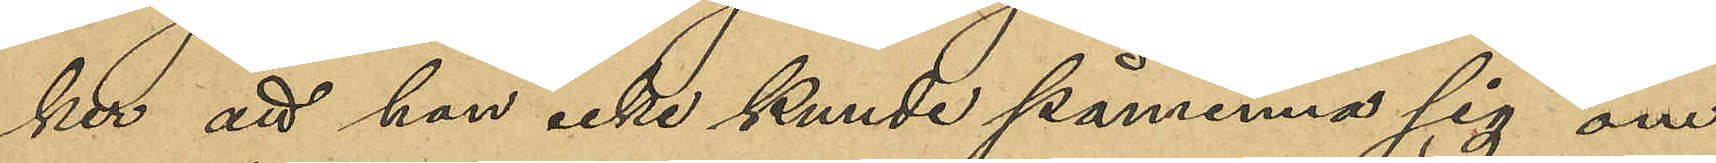ker att han icke kunde påminna sig om
